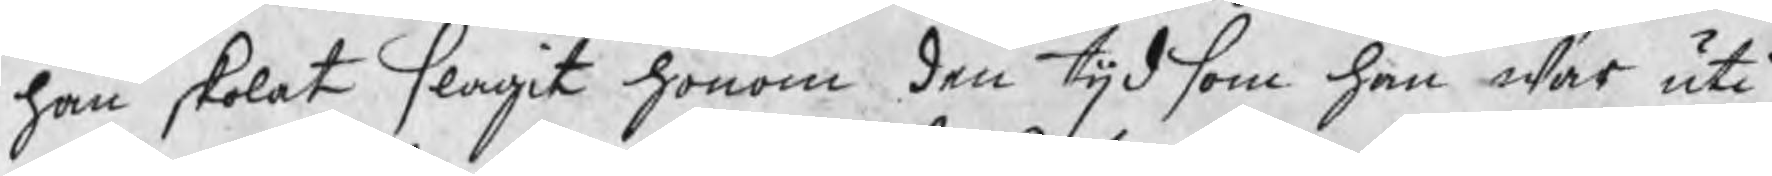han skolat slagit honom den tijd som han war uti
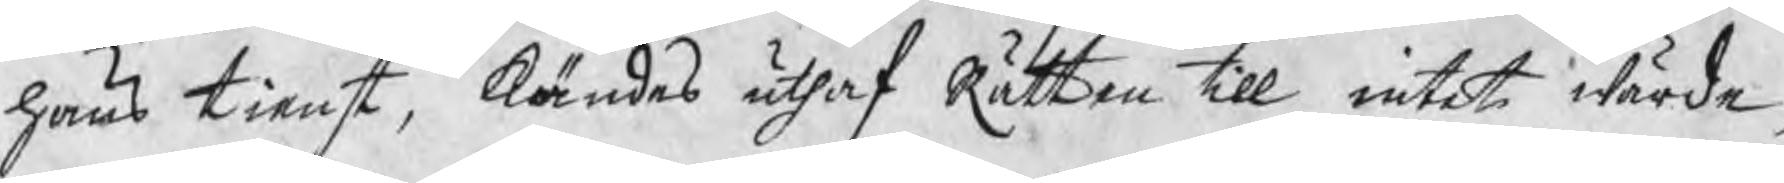hans tienst, kändes uthaf Rätten till intet wärde,
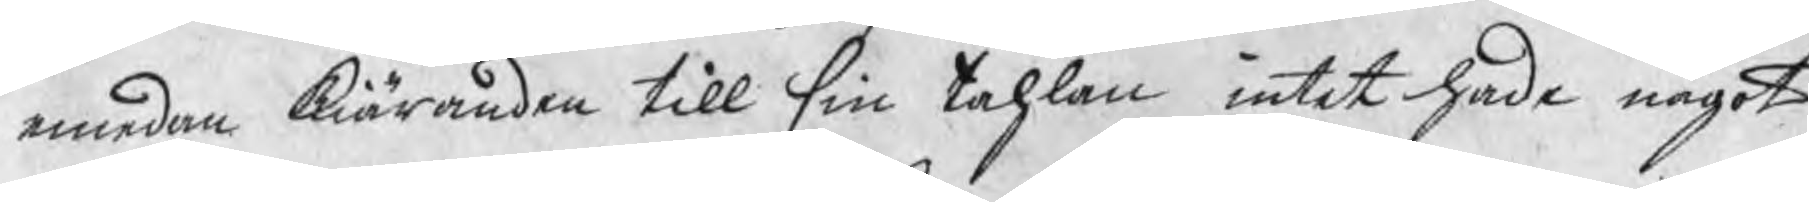emedan kiäranden till sin tahlan intet hade något
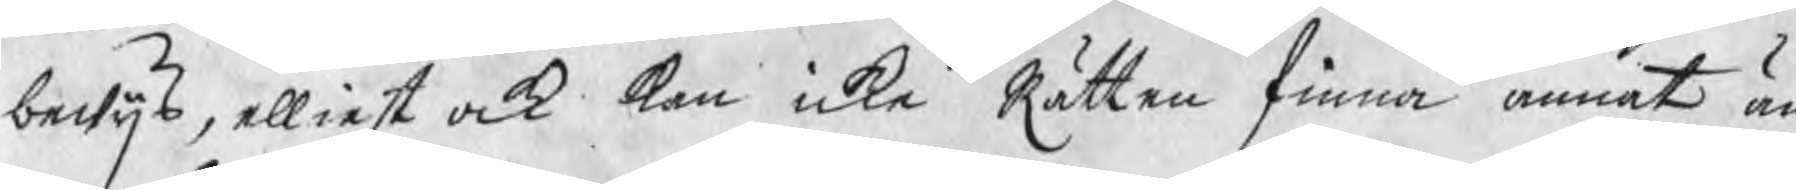bewijs, elliest ock kan icke Rätten finna annat än
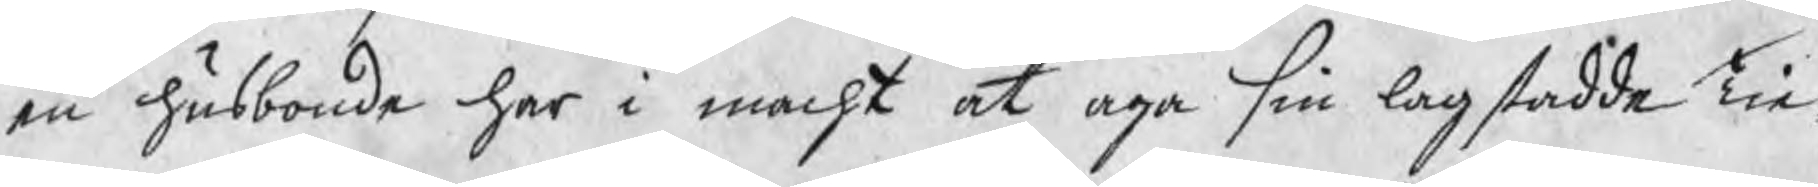en husbonde har i macht at aga sin lagstadde Tie¬
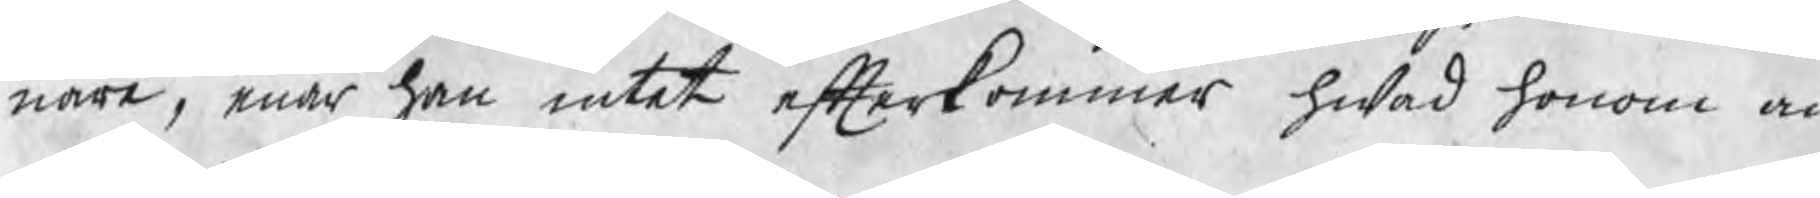nare, enär han intet efterkommer hwad honom an¬
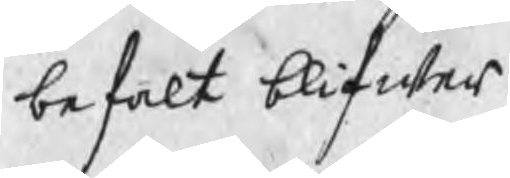befalt blifwer.
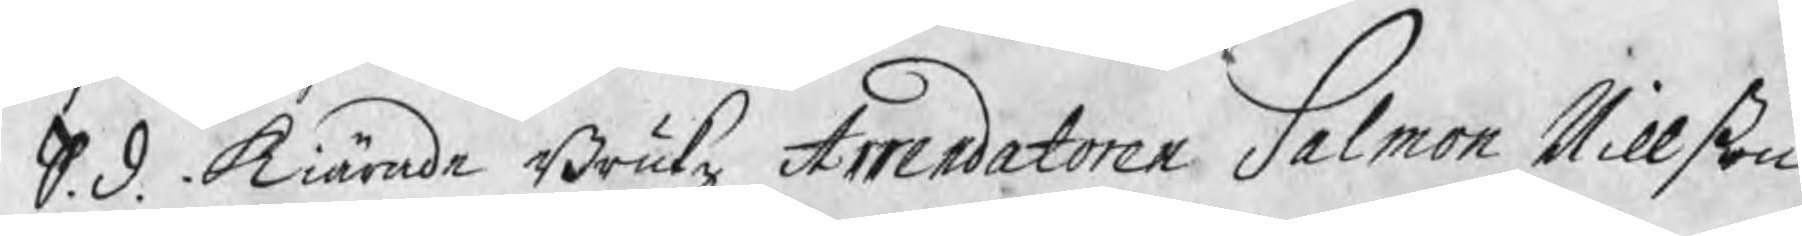S. d. Kiärade Brukz Arrendatoren Salmon Nillßon
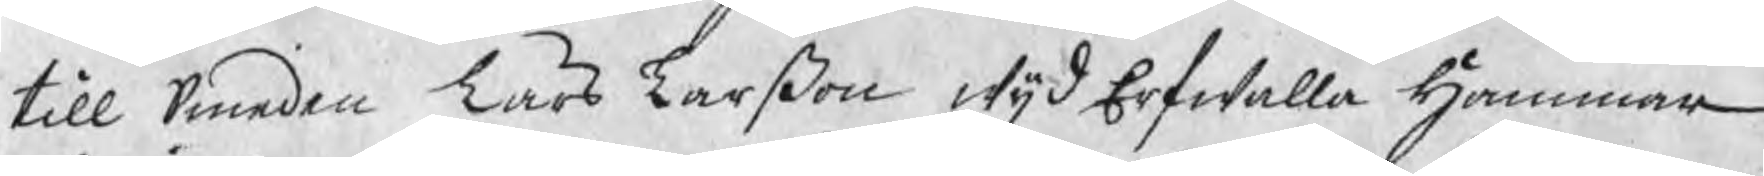till Smeden Lars Larßon wijd Erfwalla Hammar
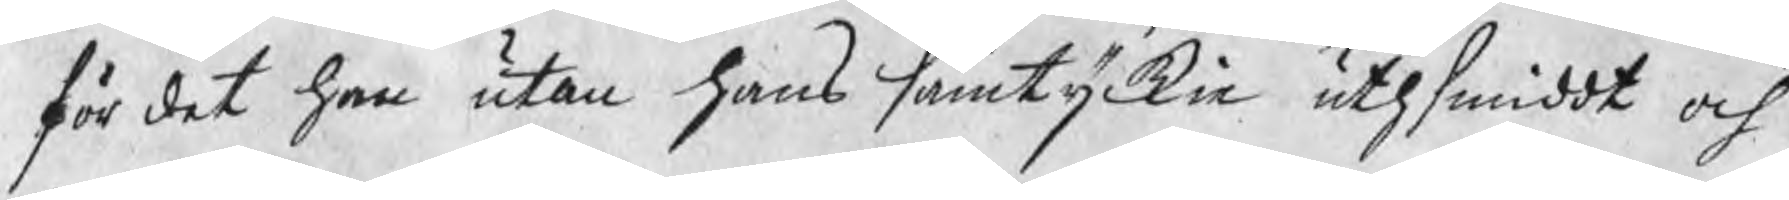för det han utan hans samtyckie uthsmiddt och
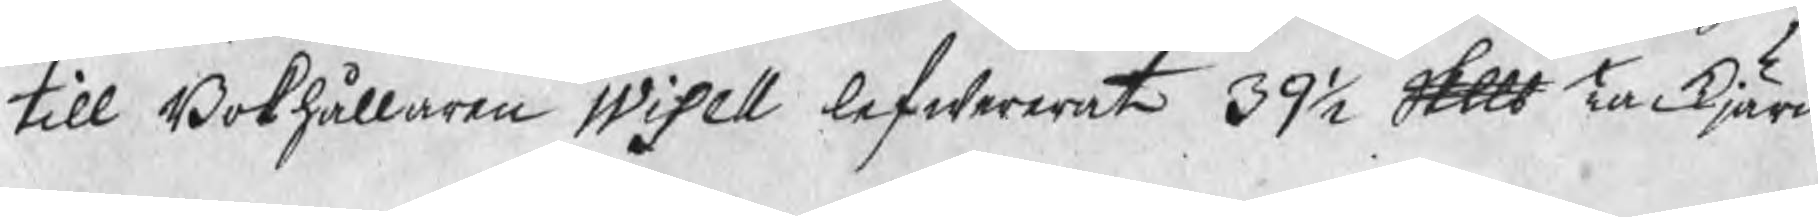till Bokhållaren Wisell lefwererat 39½ Skp Tackjärn
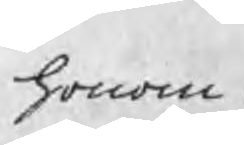honom
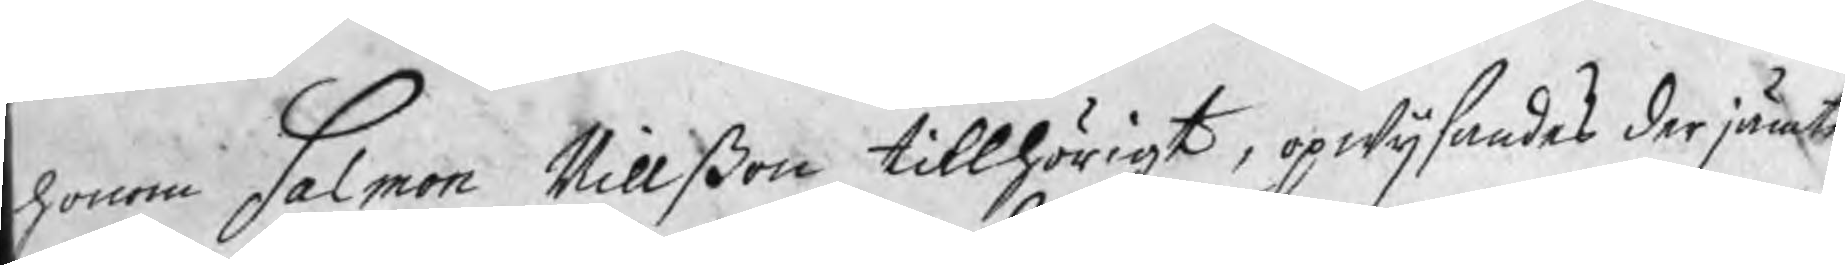honom Salmon Nillßon tillhörigt, opwijsandes derjämte
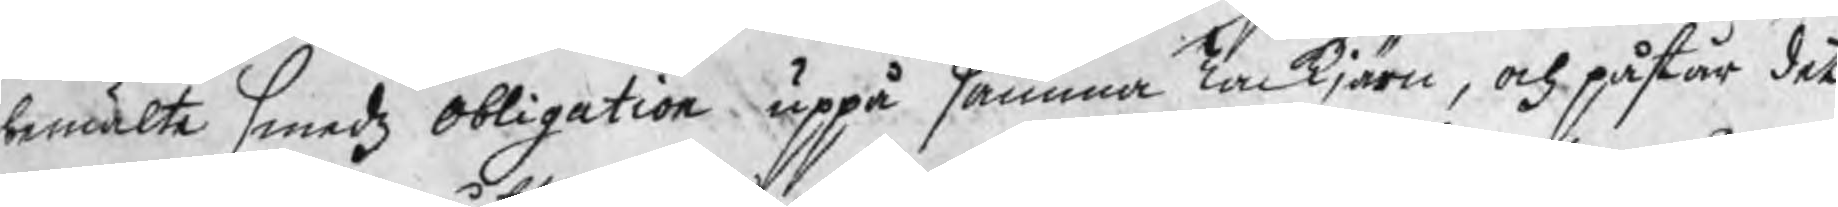bemälte Smedz Obligation uppå samma Tackjärn, och påstår det
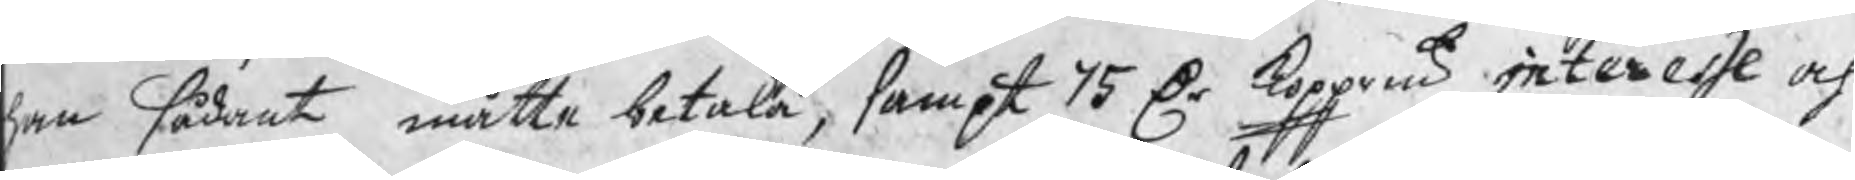han sådant måtte betala, sampt 75 Dr koppmt interesse och
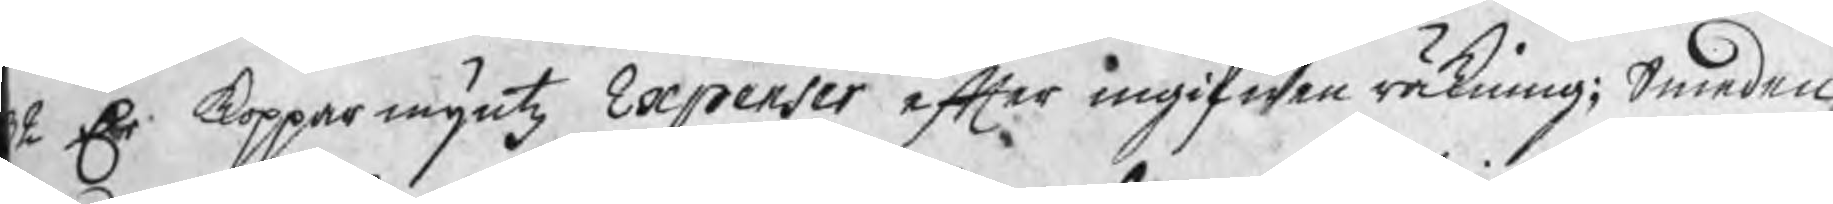2 Dr kopparmyntz Expenser efter ingifwen räkning; Smeden
